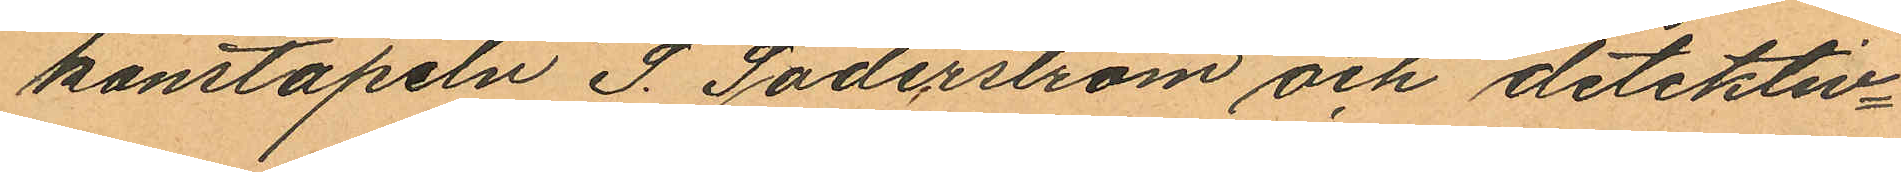konstapeln S. Söderström och detektiv¬
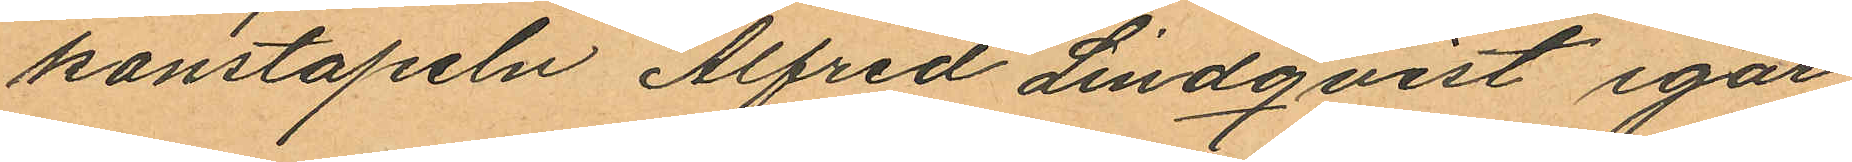konstapeln Alfred Lindqvist igår
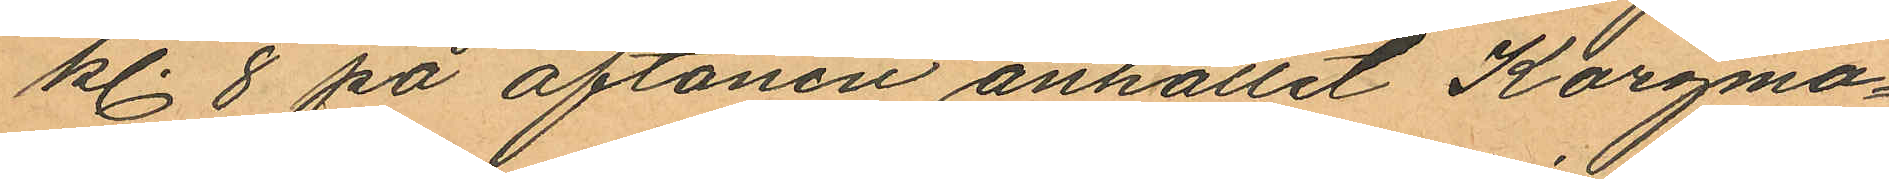kl. 8 på aftonen anhållit Korgma¬
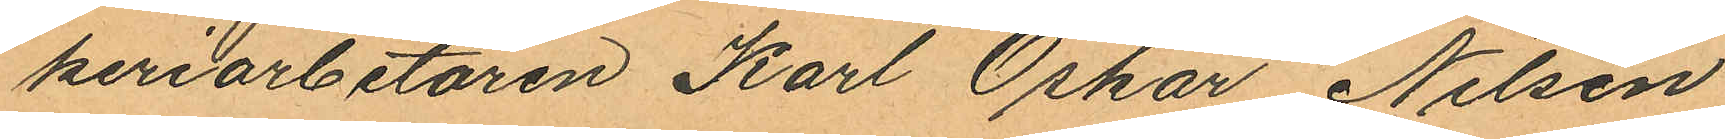keriarbetaren Karl Oskar Nilsen
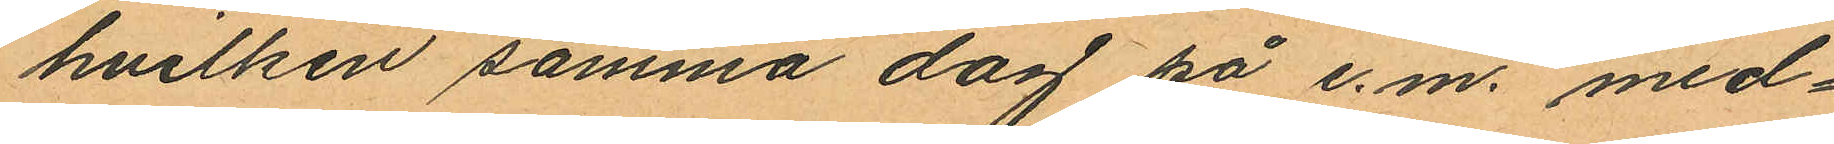hvilken samma dag på e.m. med¬
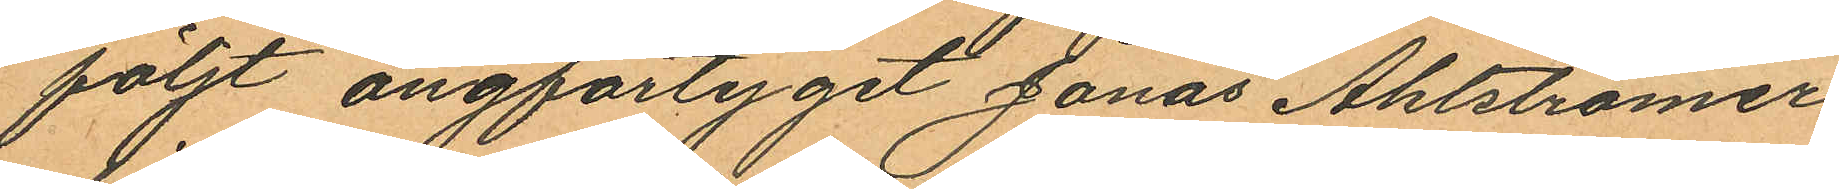följt ångfartyget Jonas Ahlströmer
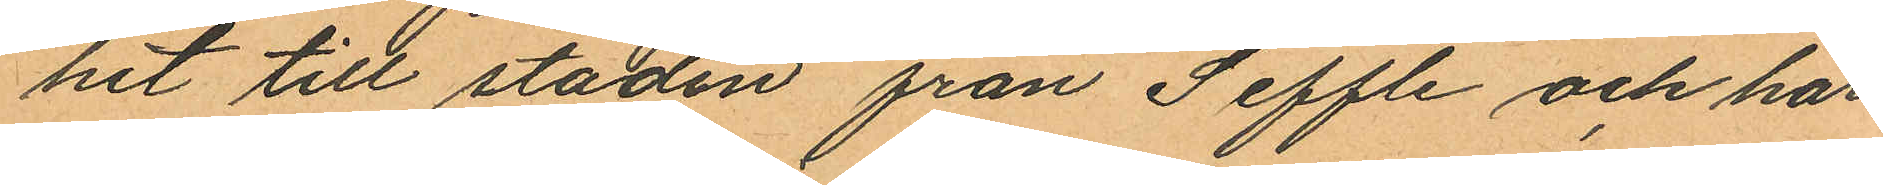hit till staden från Seffle och har
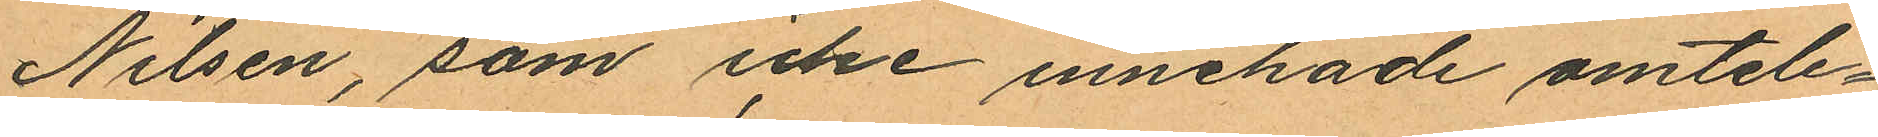Nilsen, som icke innehade omtele¬
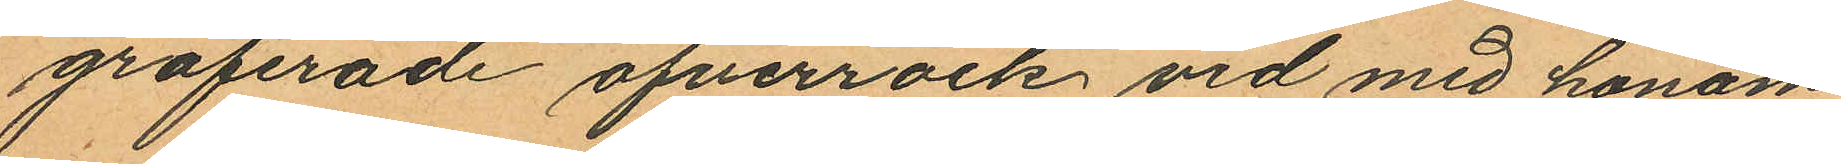graferade öfverrock vid med honom
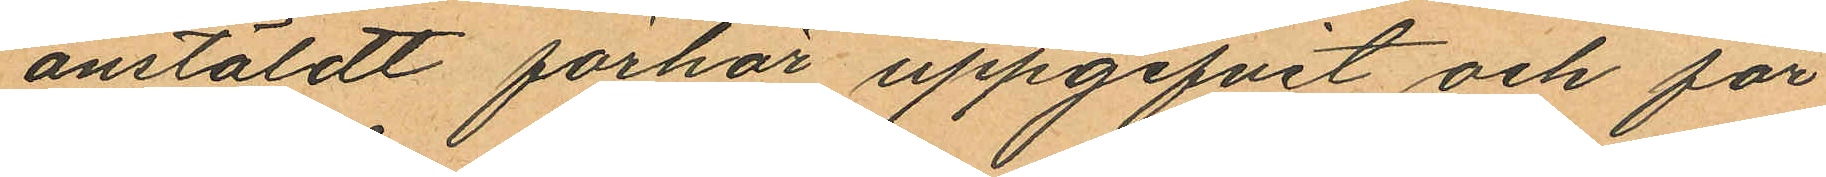anstäldt förhör uppgifvit och för¬
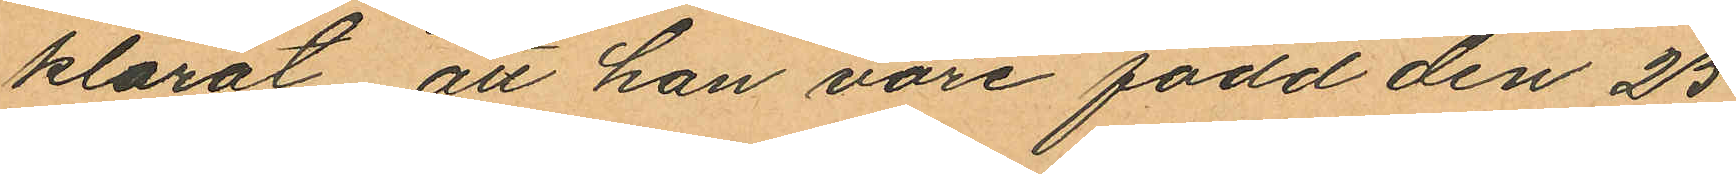klarat att han vore född den 25
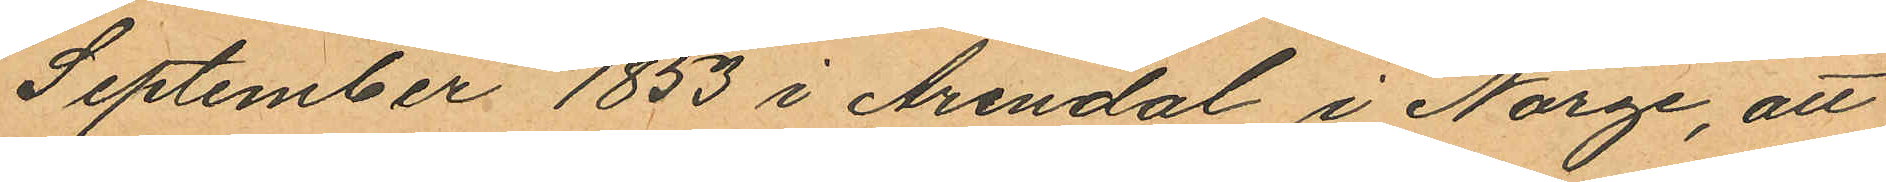September 1853 i Arendal i Norge, att
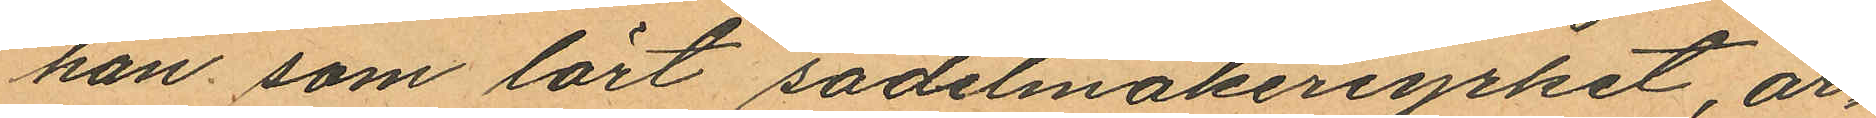han som lärt sadelmakeriyrket, ar¬
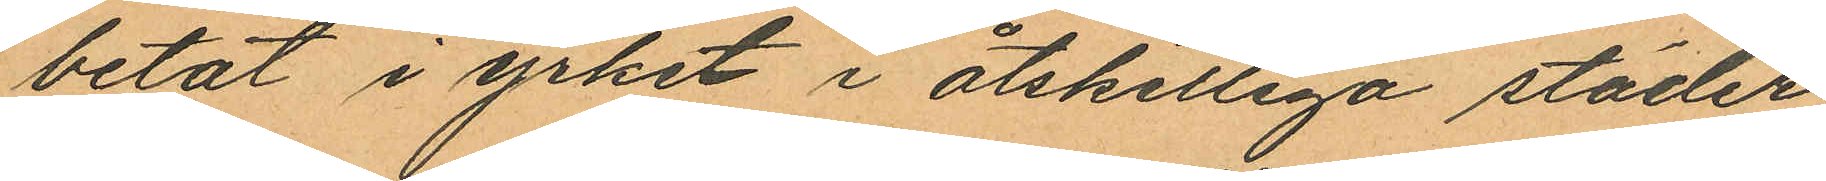betat i yrket i åtskilliga städer
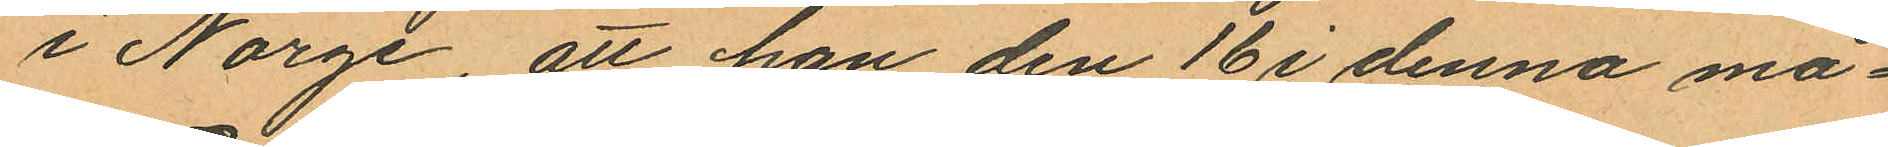i Norge, att han den 16 i denna må¬
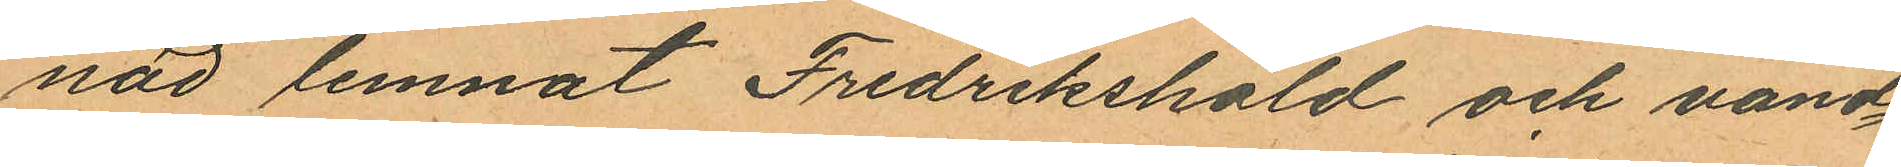nad lemnat Fredrikshald och vand¬
